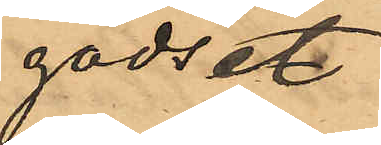godset.
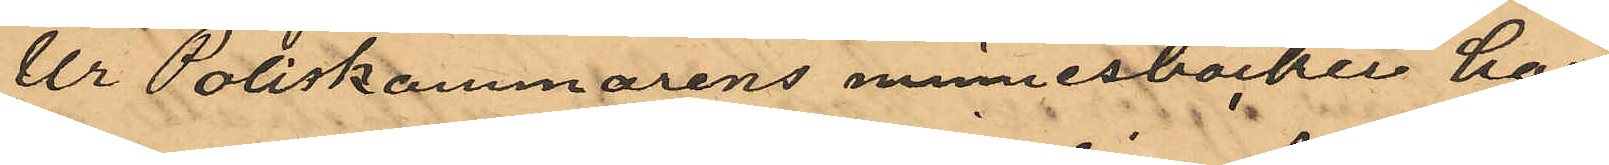Ur Poliskammarens minnesböcken har
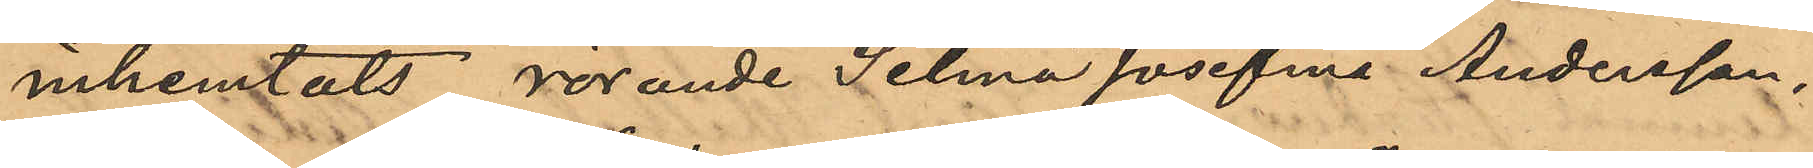inhemtats rörande Selma Josefina Andersson,
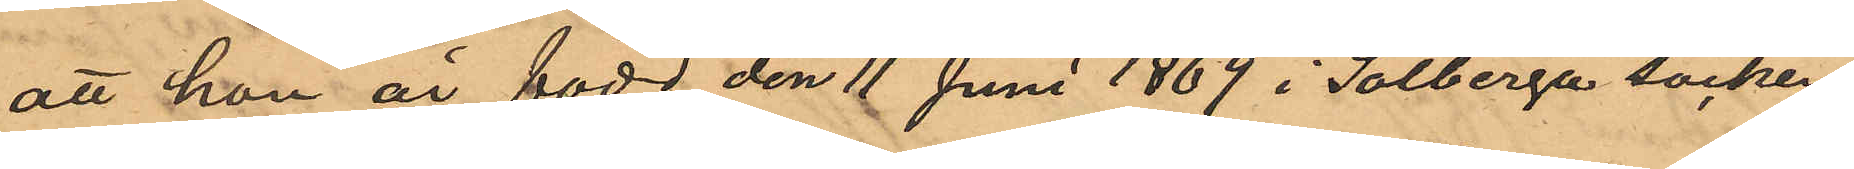att hon är född den 11 Juni 1869 i Solberga socken
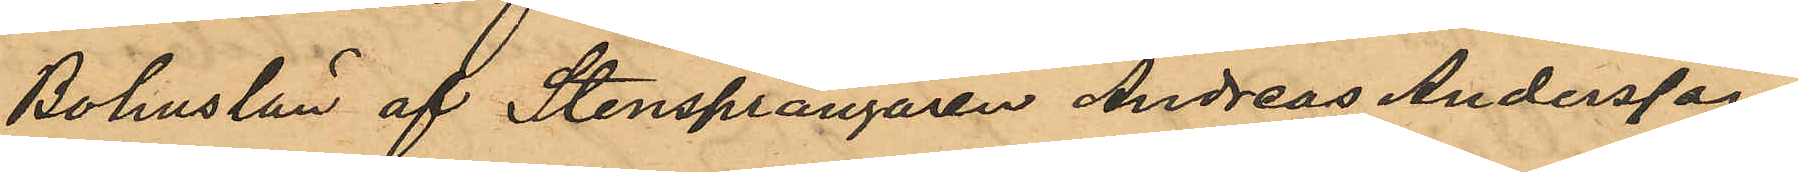Bohuslän af Stensprängaren Andreas Andersson
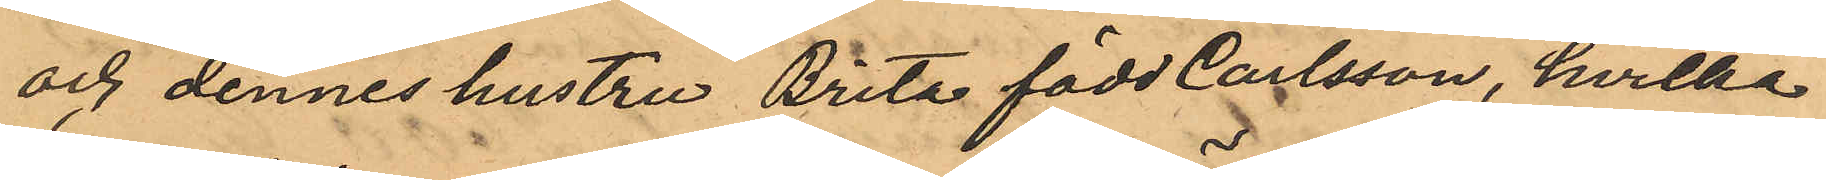och dennes hustru Brita född Carlsson, hvilka
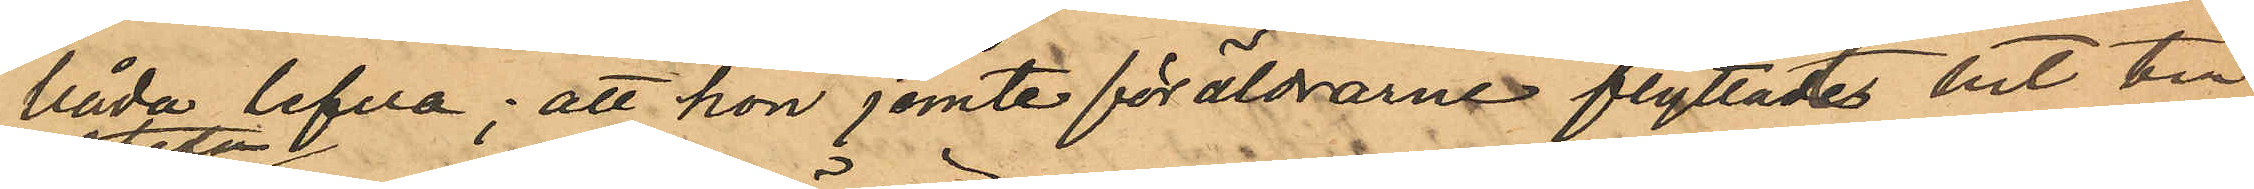båda lefva; att hon jemte föräldrarne flyttade hit till
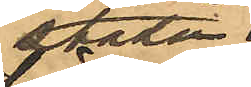staden
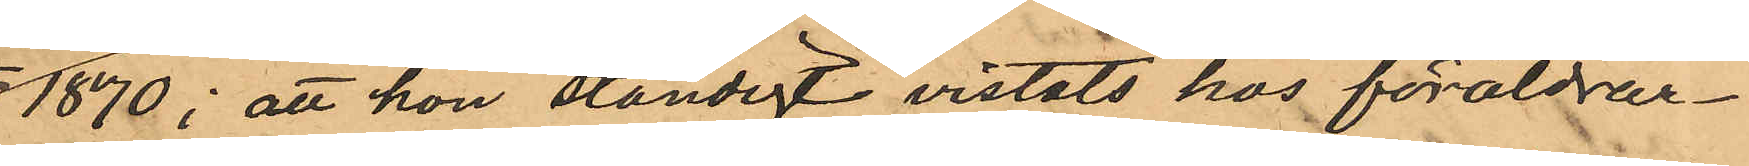1870; att hon ständigt vistats hos föräldrar¬
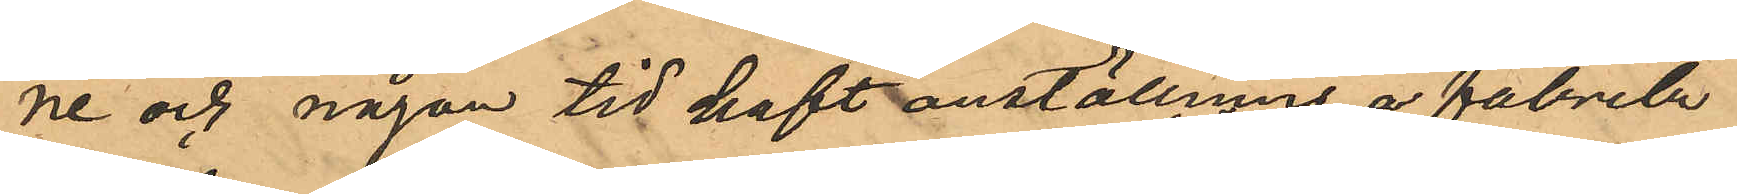ne och någon tid haft anställning å fabrik;
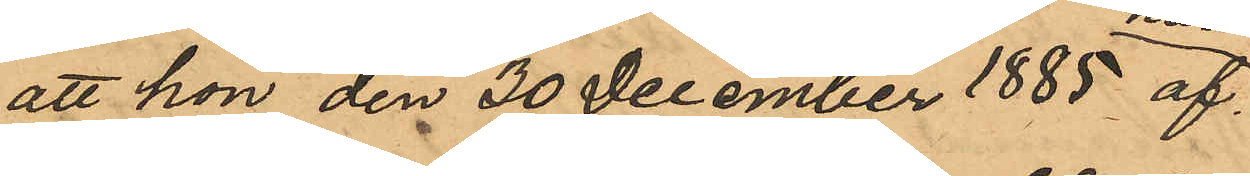att hon den 30 December 1885 af
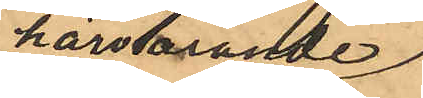härvarande
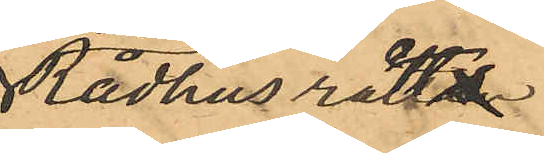Rådhusrätt
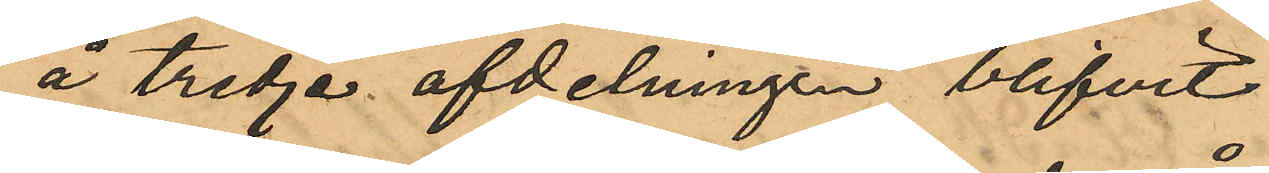å tredje afdelningen blifvit
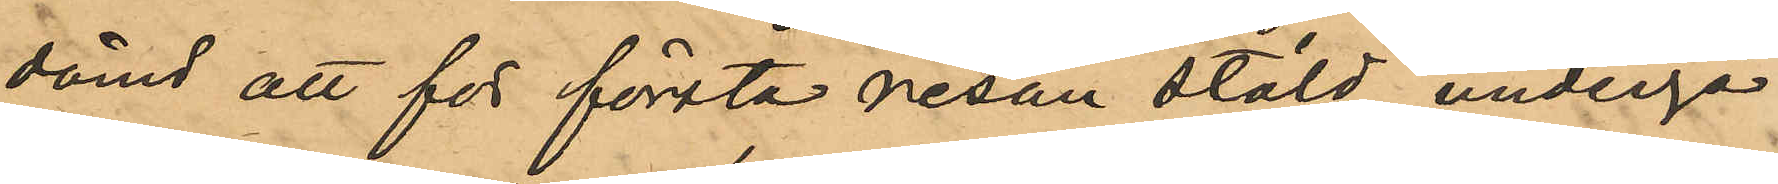dömd att för första resan stöld undergå
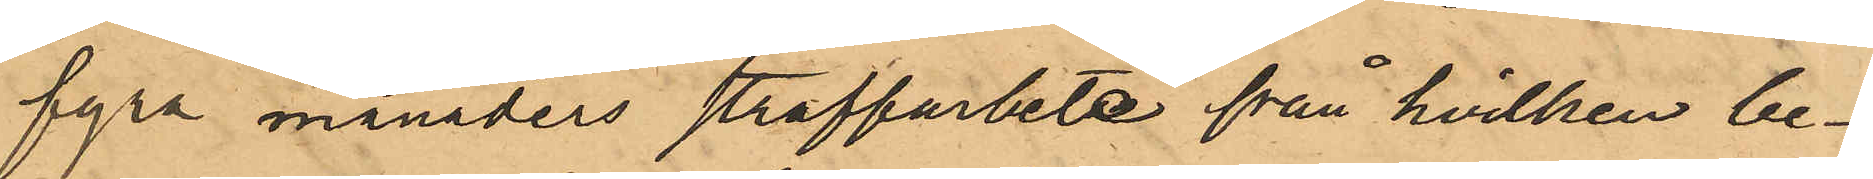fyra månaders straffarbete från hvilken be¬
